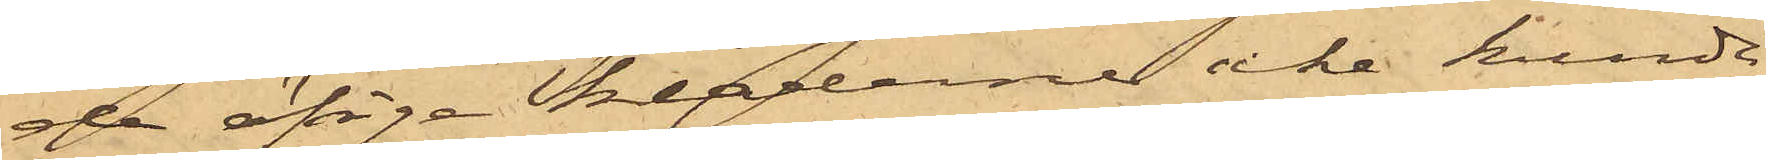de öfrige kläderne icke kunde
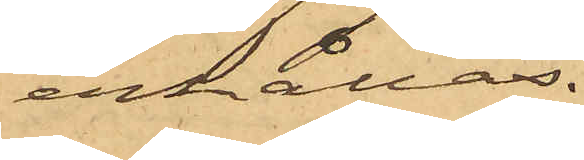erhållas.
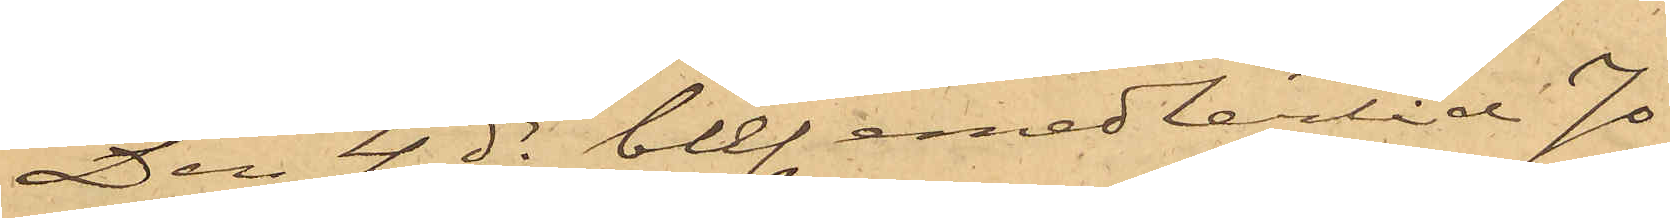Den 4 ds blef emedlertid Jo¬
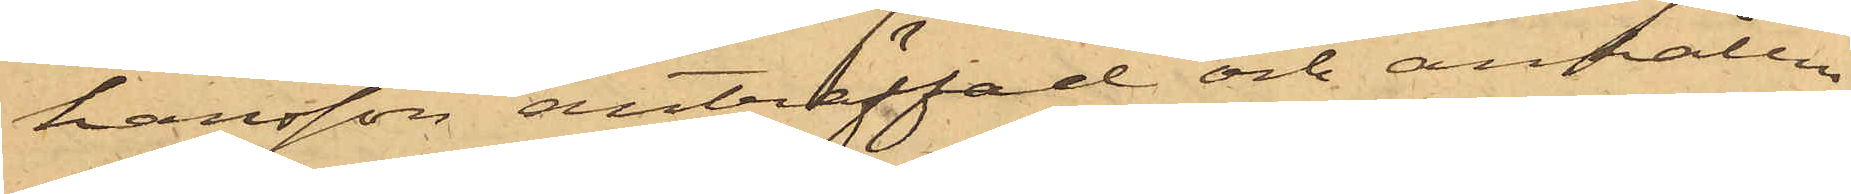hansson anträffad och anhållen
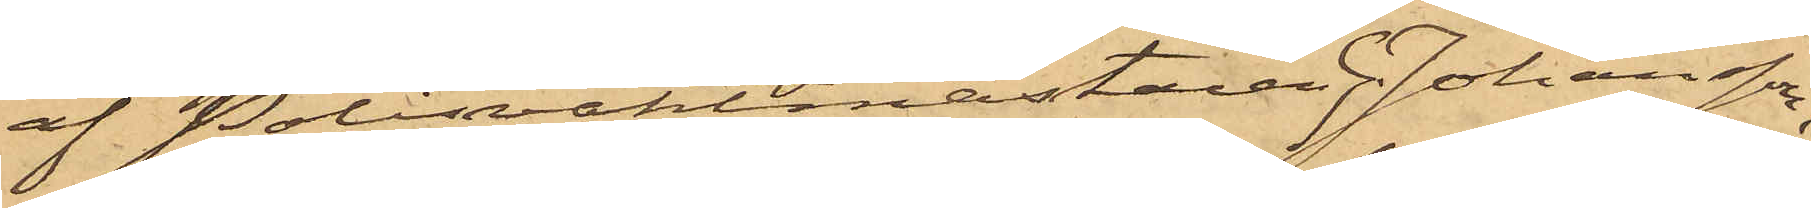af Polisvaktmästaren G. Johansson,
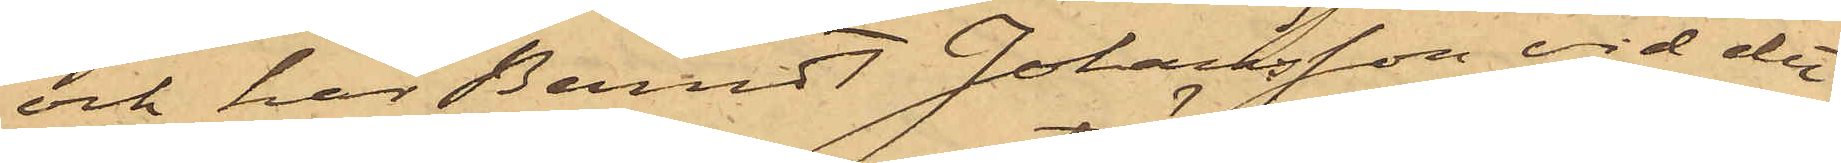och har Berndt Johansson vid det
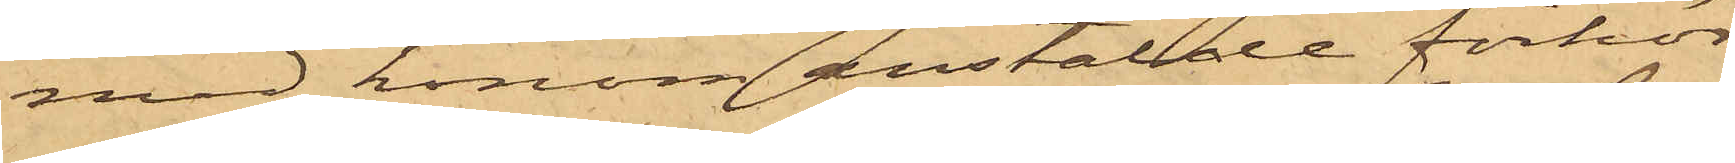med honom anstälde förhör
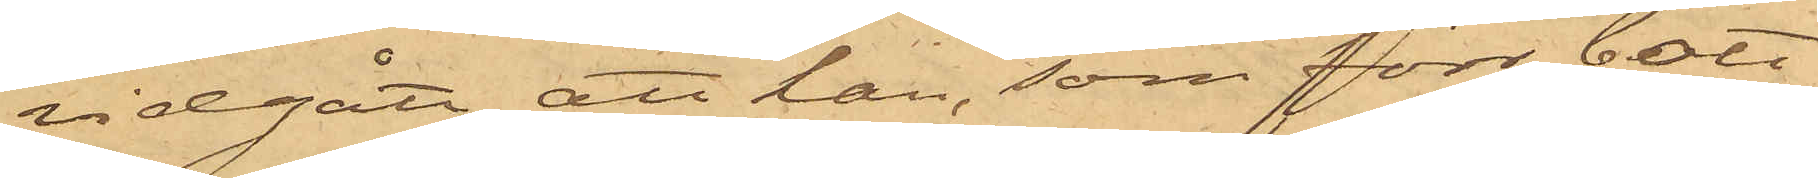vidgått, att han, som förr bott
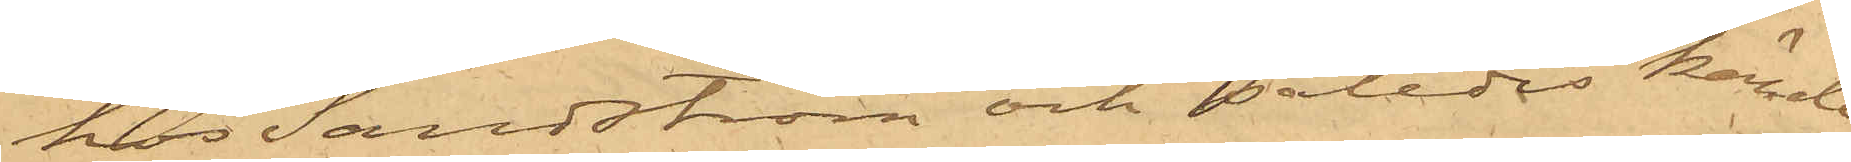hos Sandström och således kände
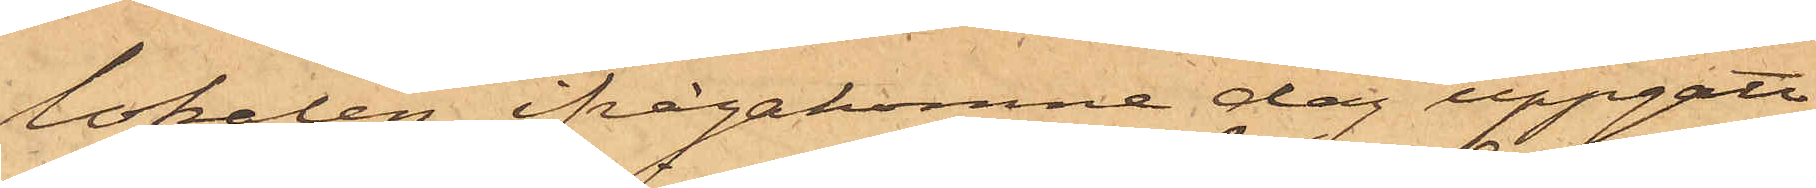lokalen, ifrågakomne dag uppgått
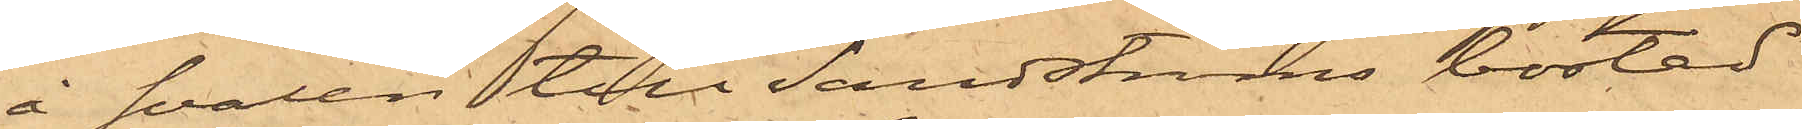å svalen till Sandströms bostad
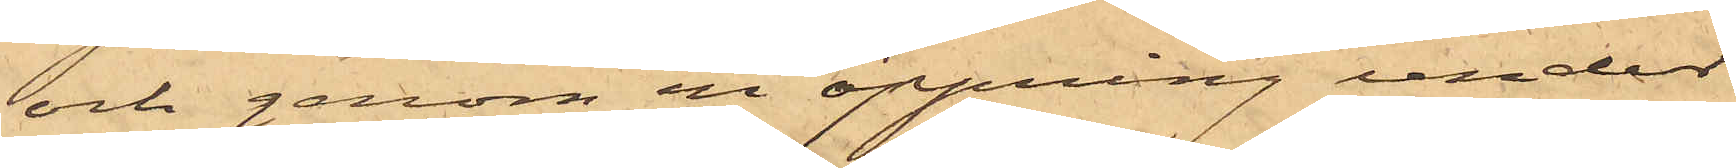och genom en öppning under
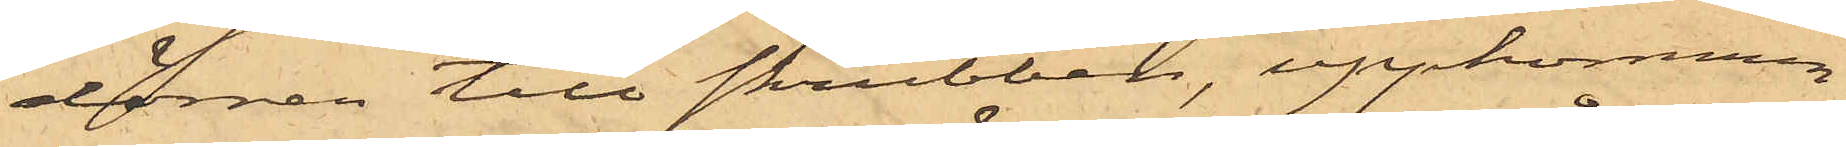dörren till skrubben, uppkommen
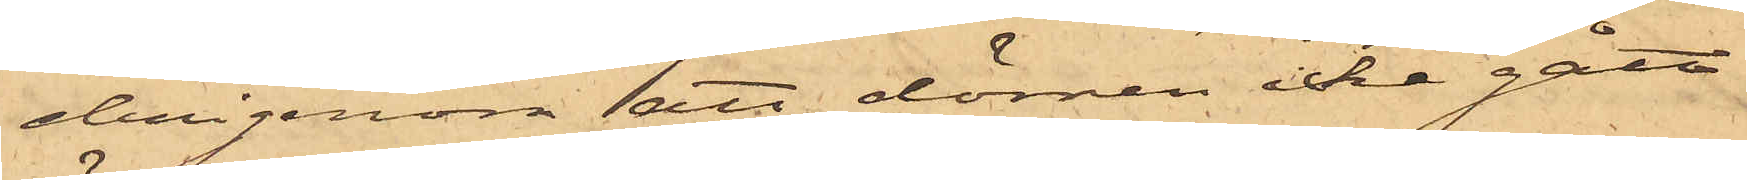derigenom att dörren icke gått
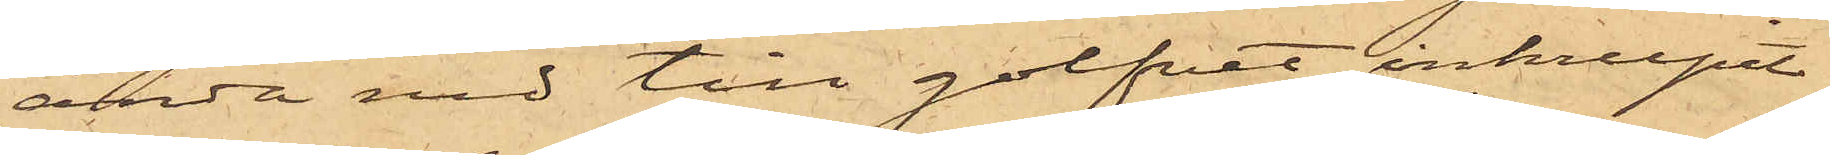ända ned till golfvet, inkrupit
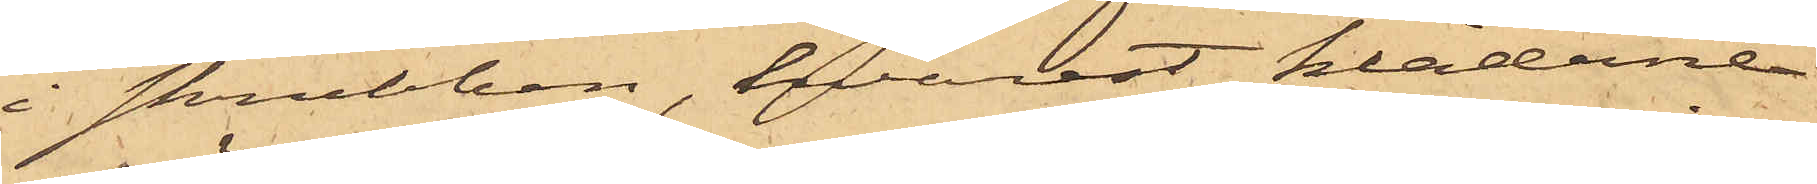i skrubben, hvarest kläderne
